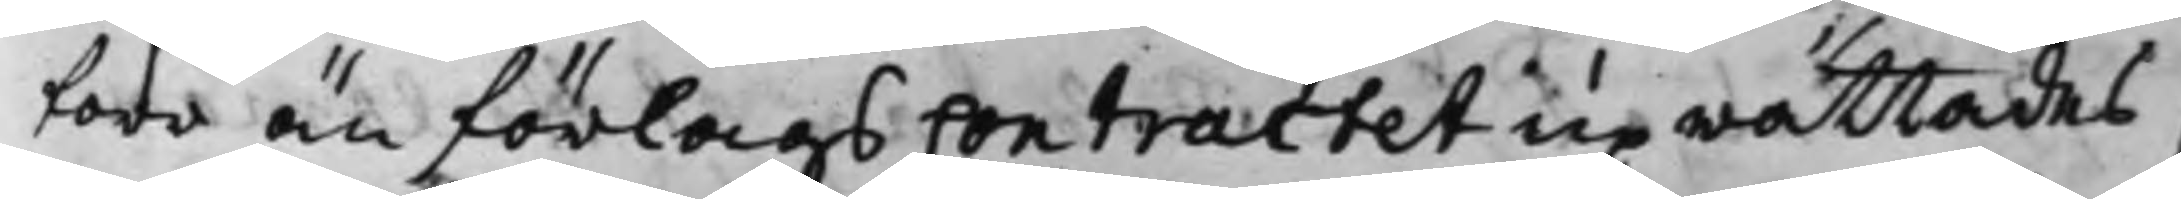förr än förlags Contractet uprättades,
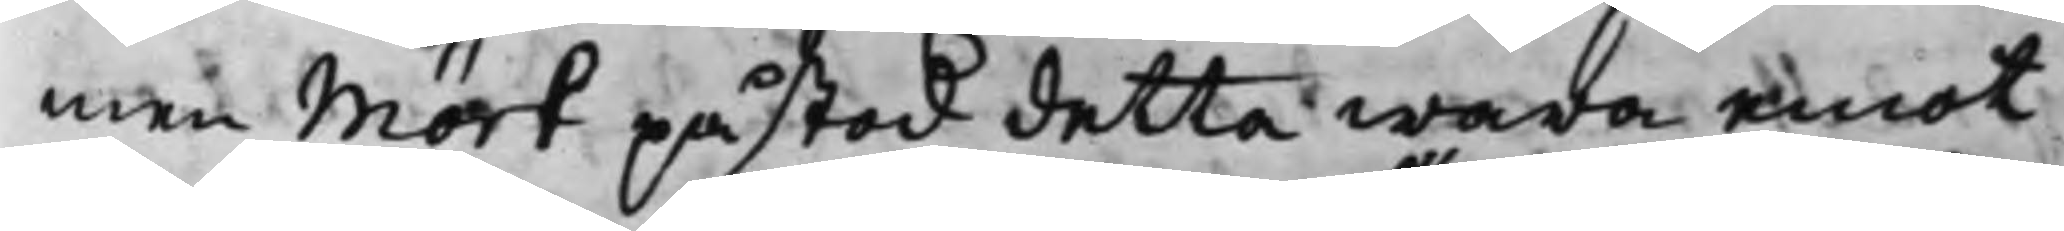men Mört påstod detta wara emot
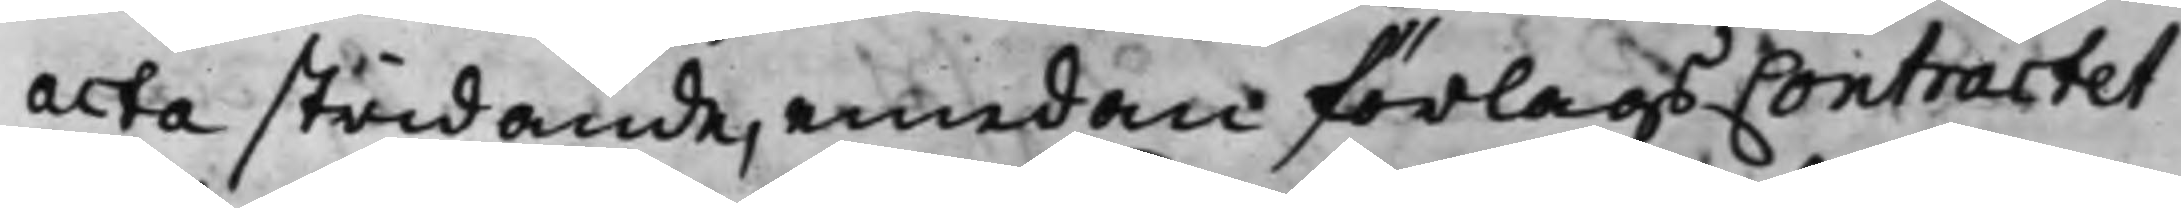acta stridande, emedan förlags Contractet
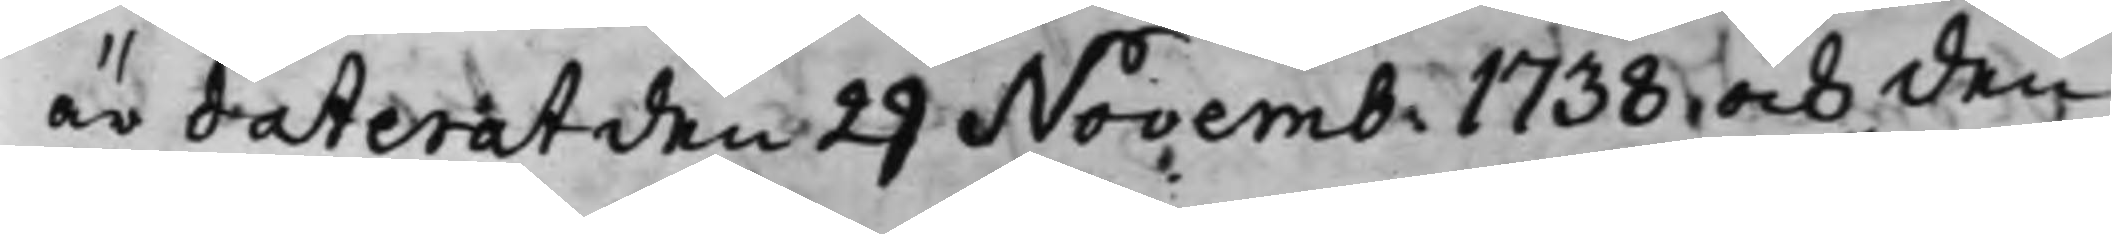är daterat den 29 Novemb: 1738, och den
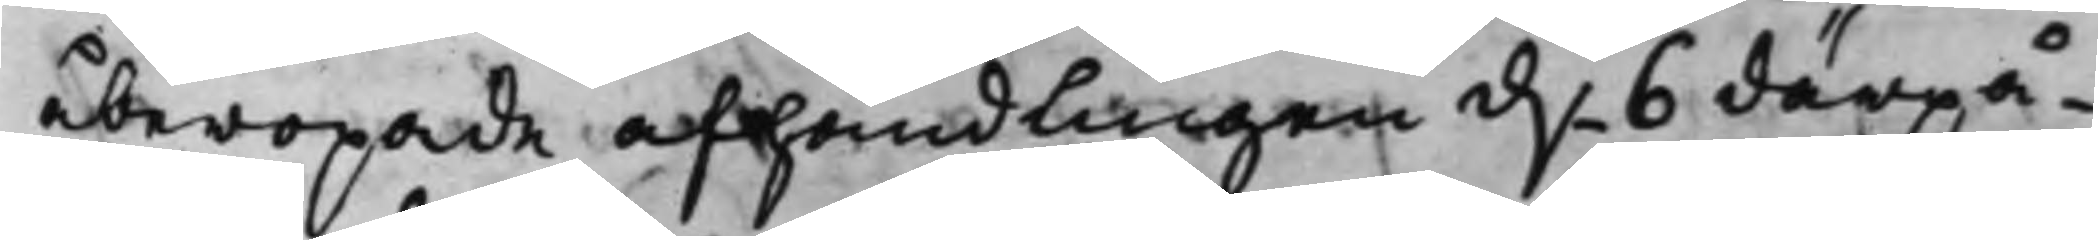åberopade afhandlingen d. 6 därpå¬
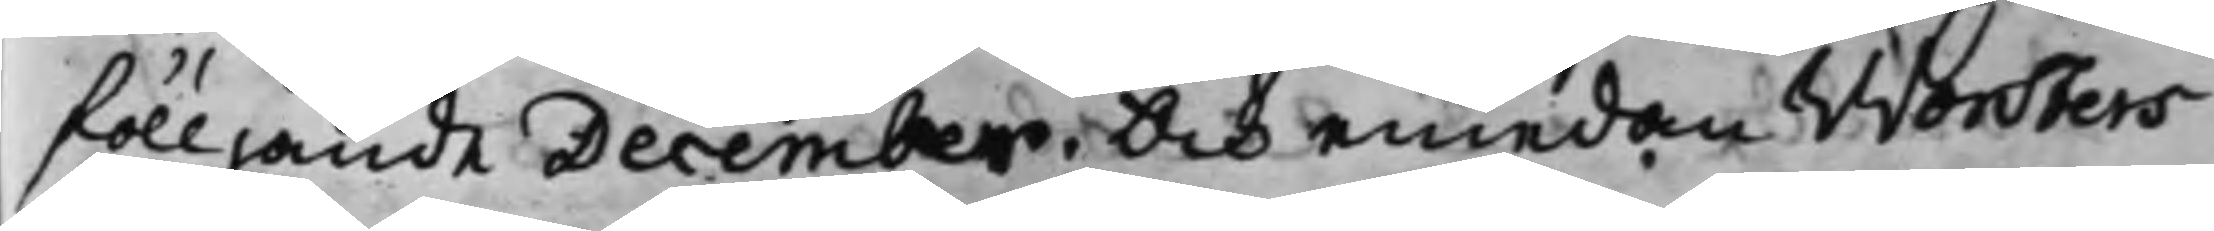fölljande December. Och emedan Worsters
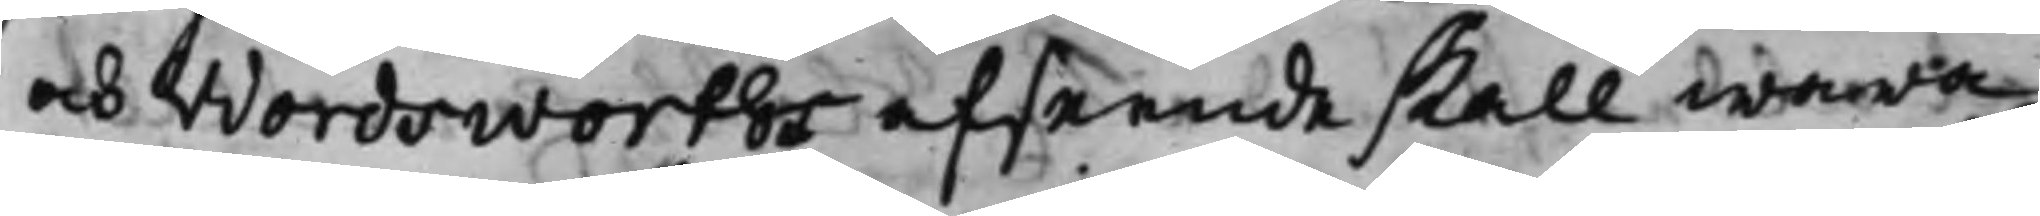och Wordsworths afseende skall wara
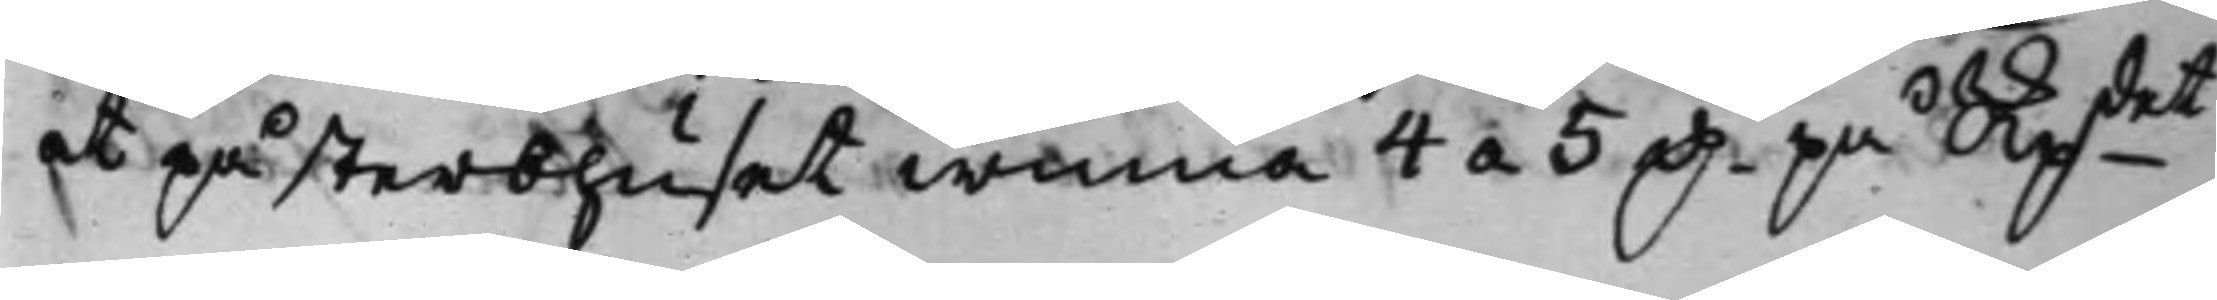at på sterbhuset winna 4 a 5 D. på Skpdet
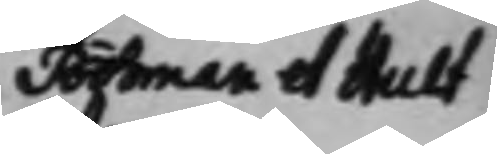Bohman et Hult¬
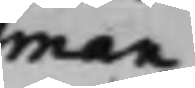man
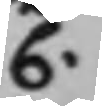C.
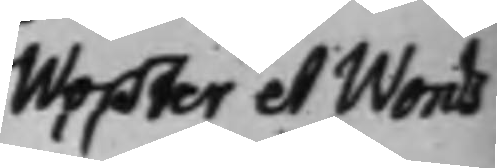Worster et Words¬
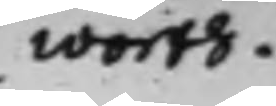worth.
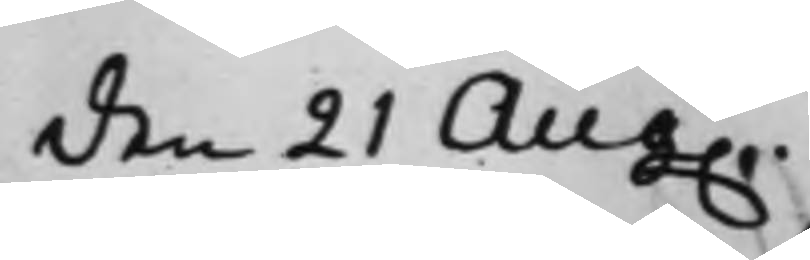den 21 Aug.
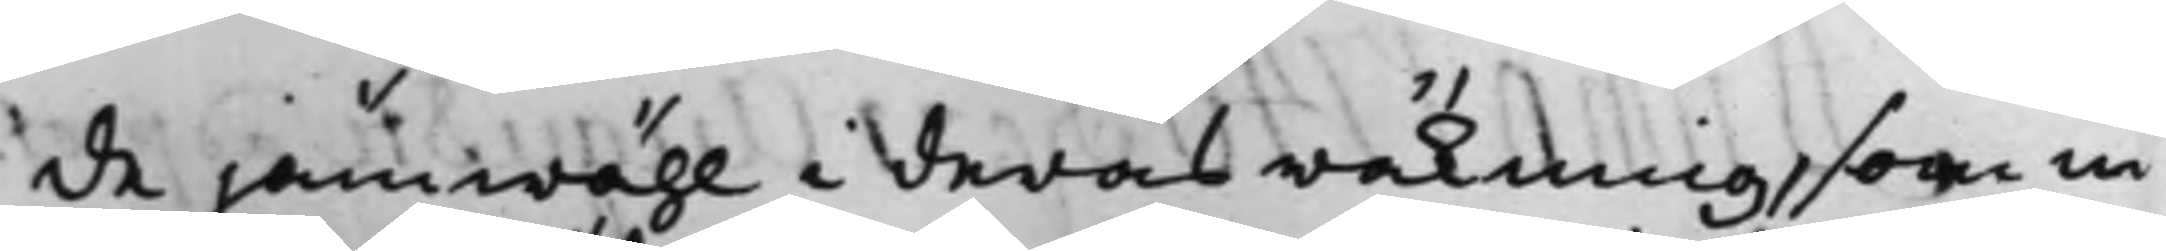de jämwähl i deras räkning, som in¬
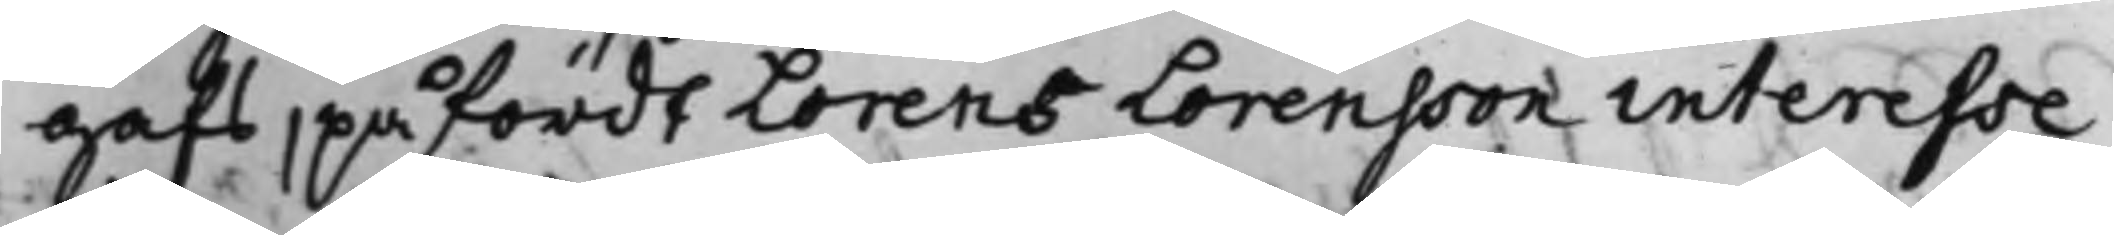gafs, påfördt Lorens Lorensson interesse
